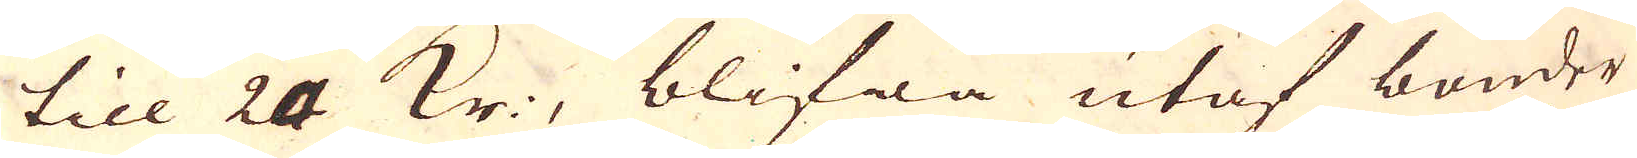till 24 kr., blifwa utaf bönder
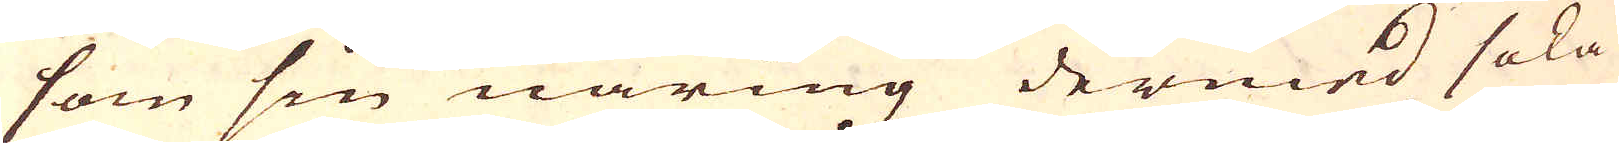som sin näring dermed söka
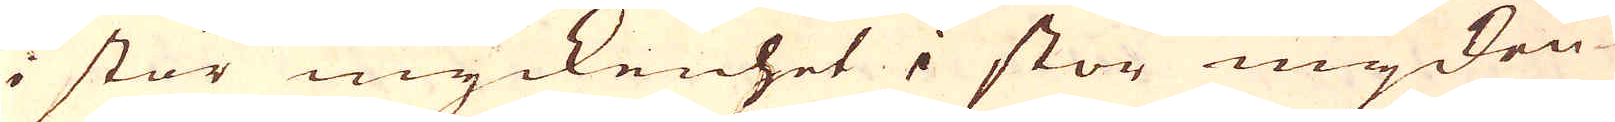i stor myckenhet i stor mycken-
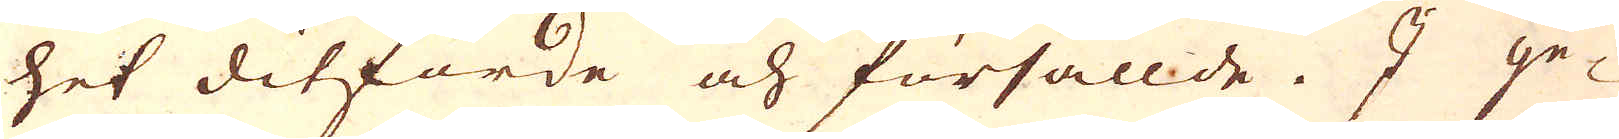het ditforde och försållde. I ge-
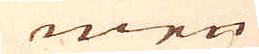men
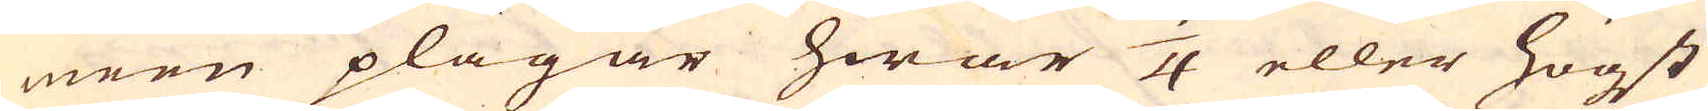men plägar hwar 3/4 eller högst
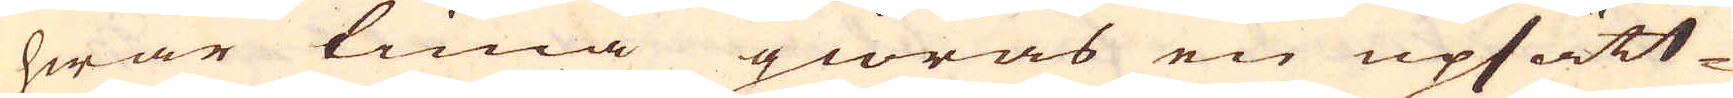hwar tima giöras en upsätt-
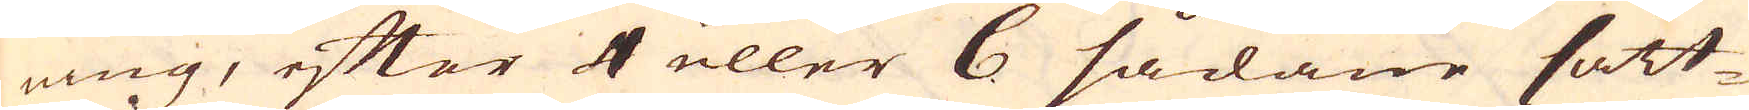ning, efter 4 eller 6 sådane sätt-
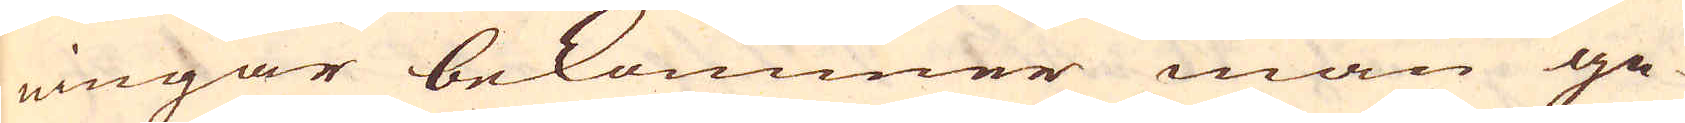ningar bekommer man ge-
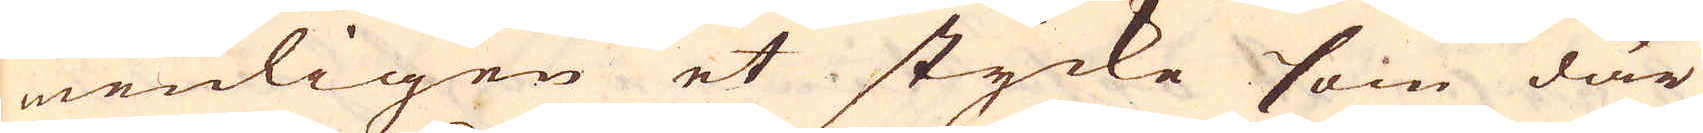menligen et stycke som där
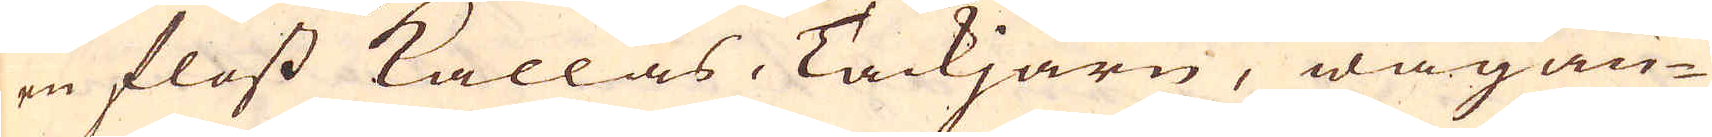en floss kallas, Tackjärn, wägan-
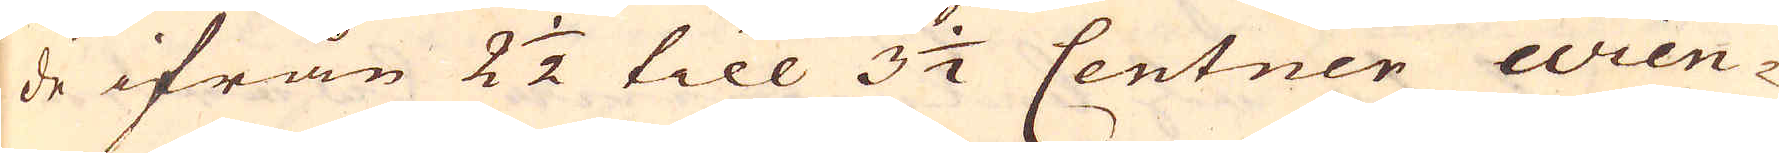de ifrån 2 1/2 till 3 1/2 Centner wien-
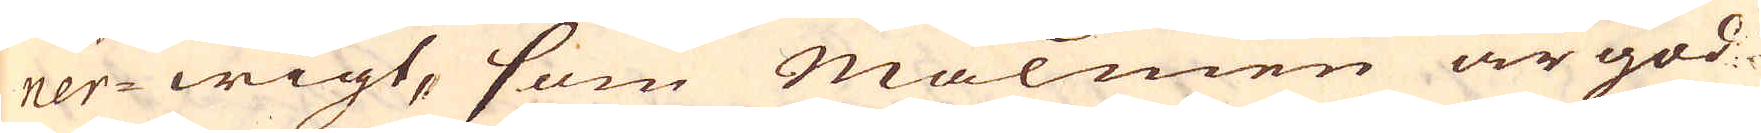ner-wigt, som Malmen är god
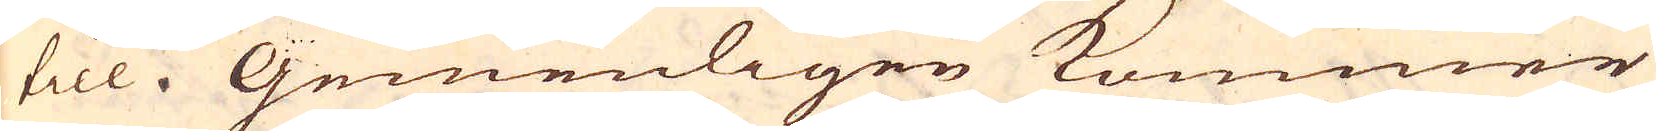till. Gemenligen kommer
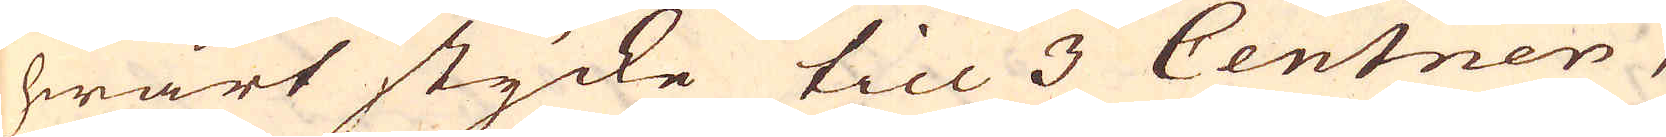hwart stycke till 3 Centner,
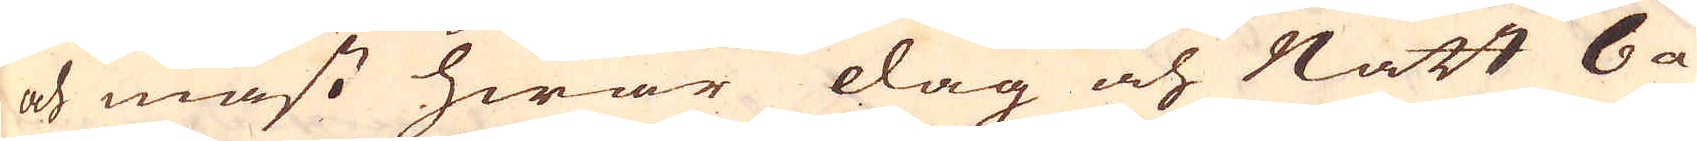och mäst hwar dag och Natt 6 a
